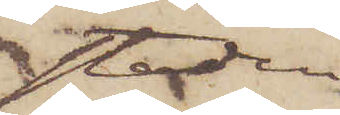staden
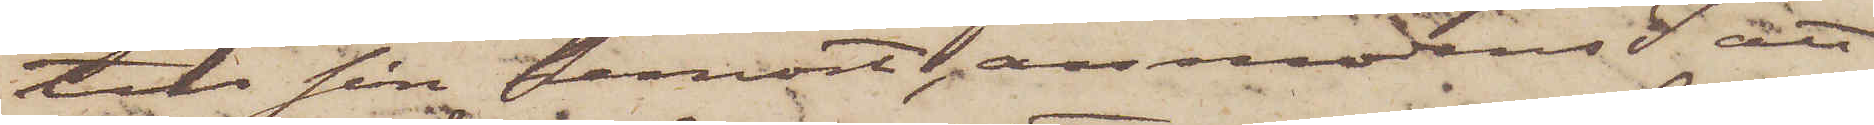till sin hemort, anmodas I att
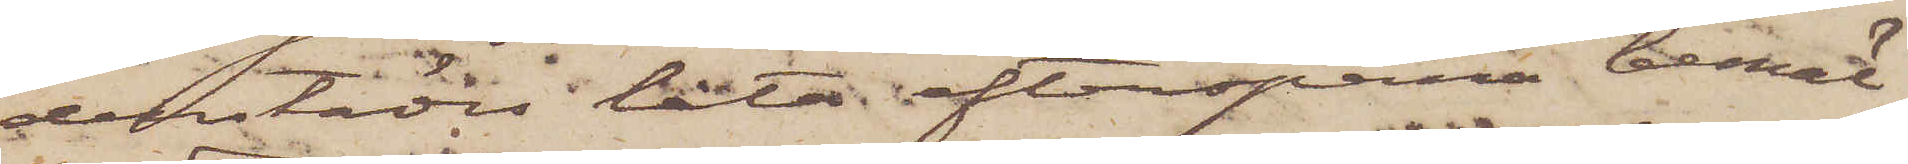derstädes låta efterspana bemäl¬
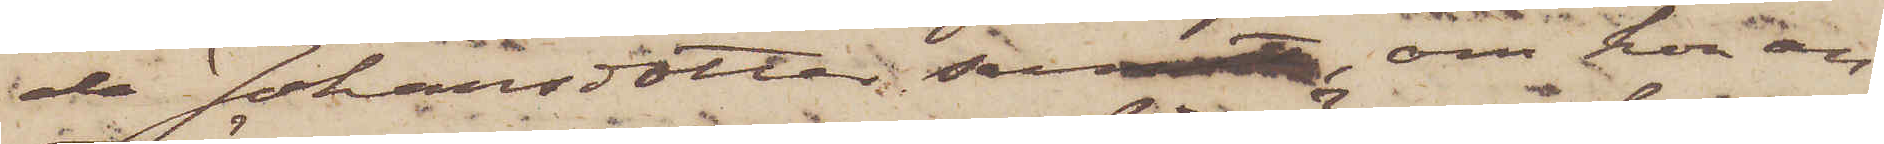da Johansdotter samt, om hon an¬
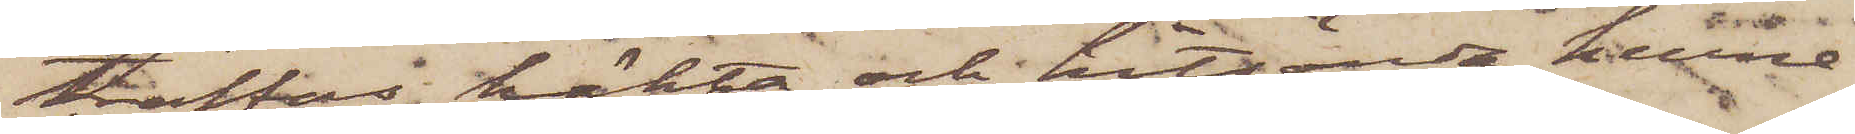träffas, häkta och hitsända henne
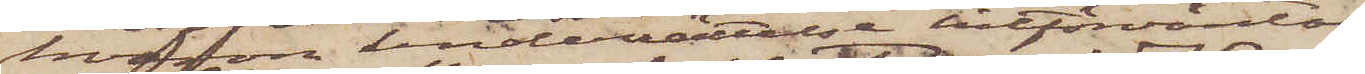hvarom underrättelse hitförväntas.
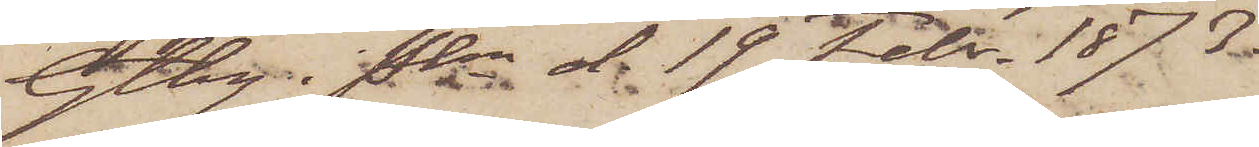Gtbg i Pkn d. 19 Febr. 1873.
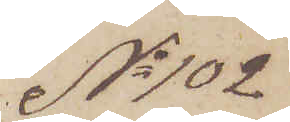No 102
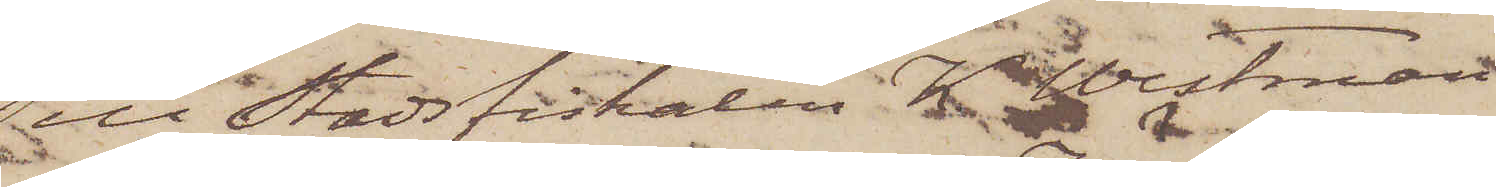Till Stadsfiskalen K. Westman
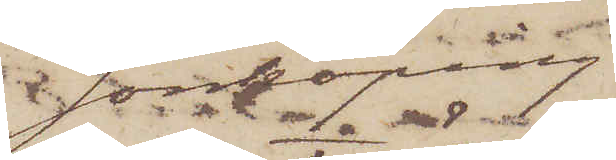Jönköping.
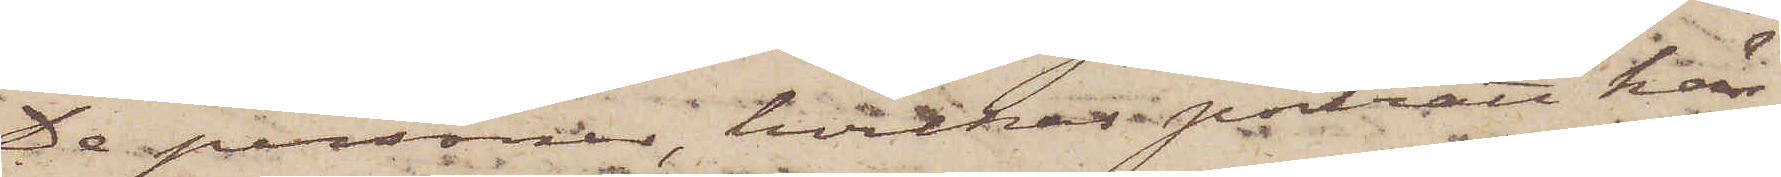De personer, hvilkas porträtt här
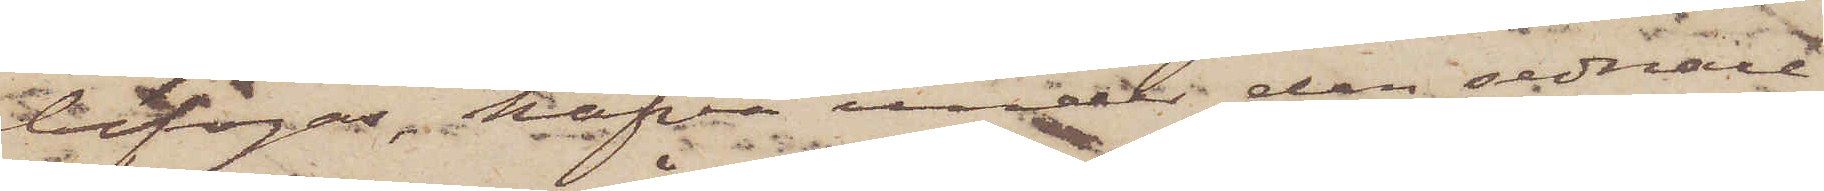bifogas, hafva under den sednare
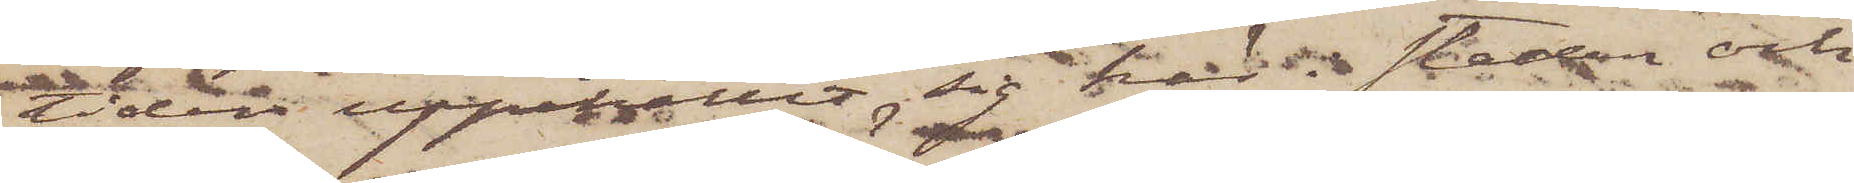tiden uppehållit sig här i staden och
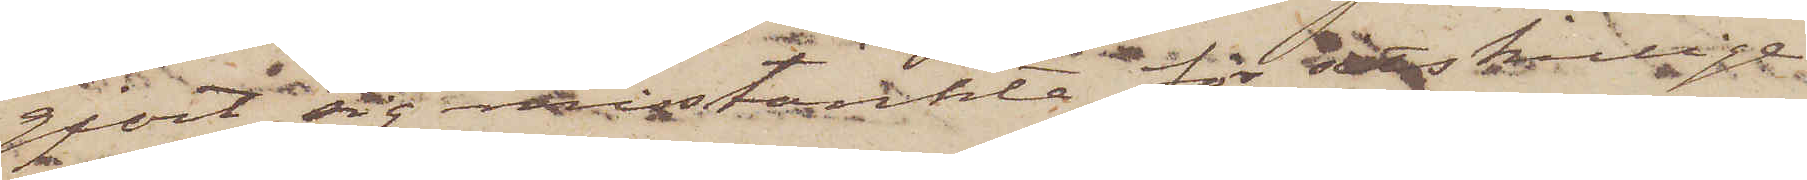gjort sig misstänkta för åtskillige
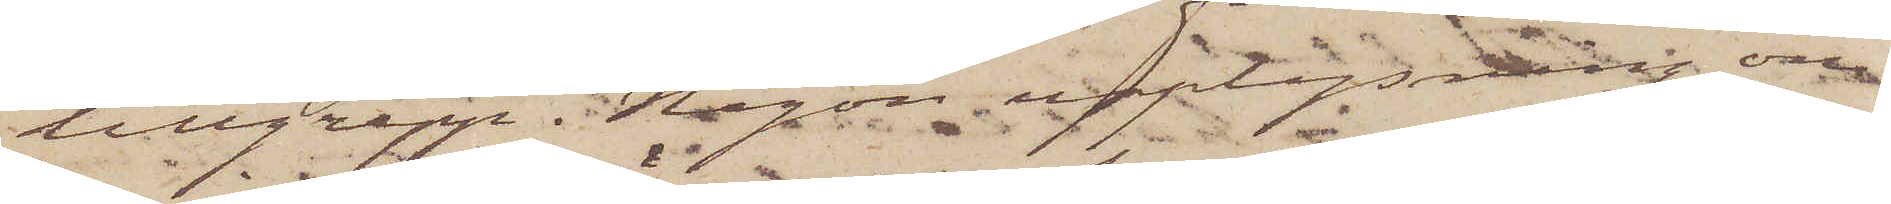tillgrepp. Någon upplysning om
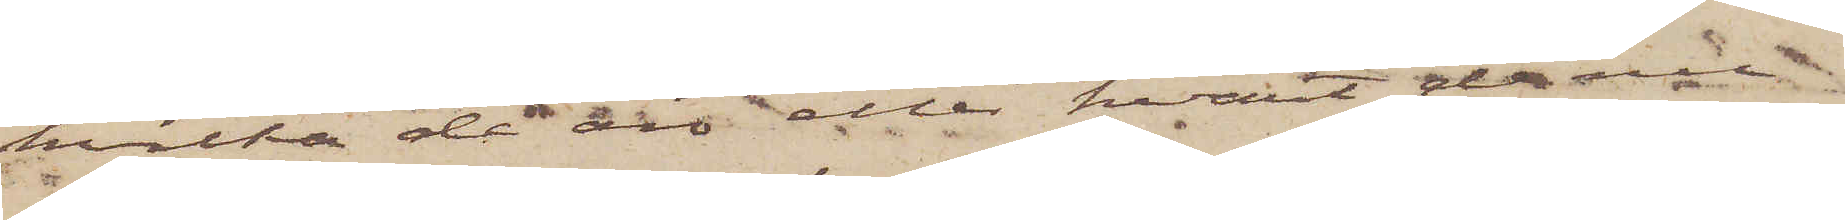hvilka de äro eller hvart de nu
